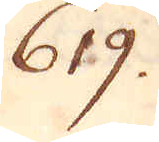619.
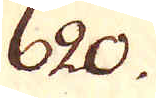620.
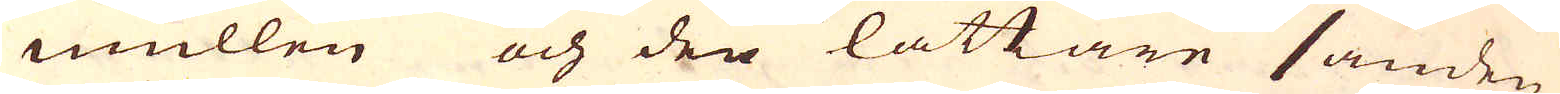mullen och den lättare sanden
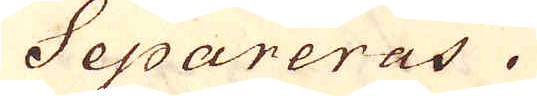Separeras.
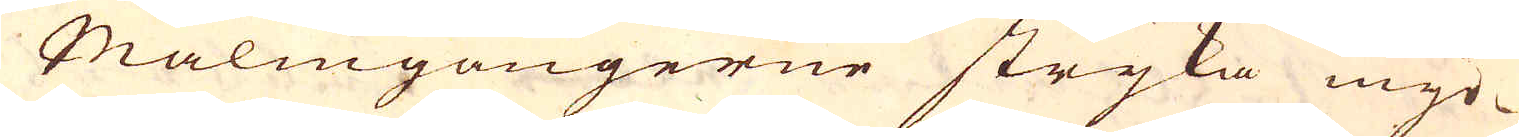Malmgångerne stryka myc-
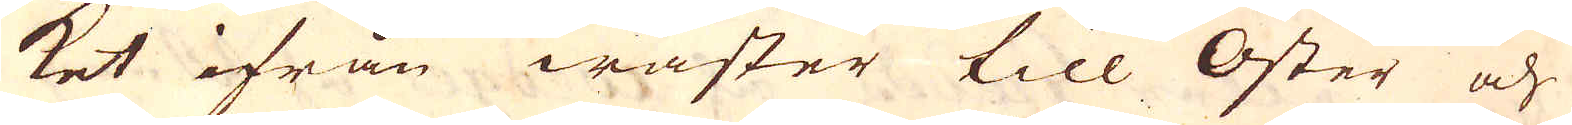ket ifrån wäster till Öster och
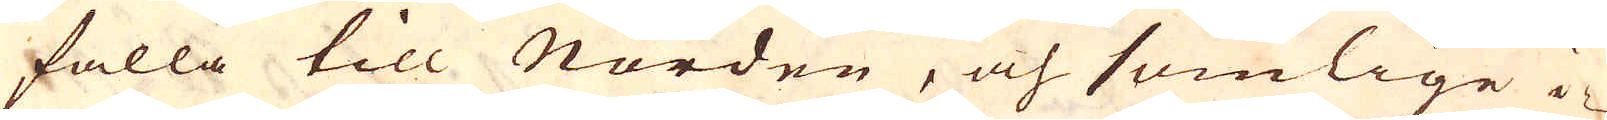falla till Norden, och somlige i-
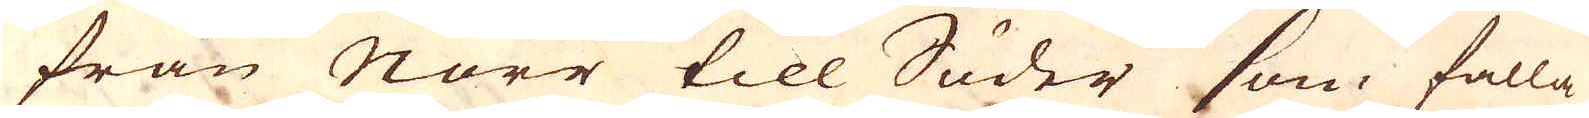från Norr till Söder som falla
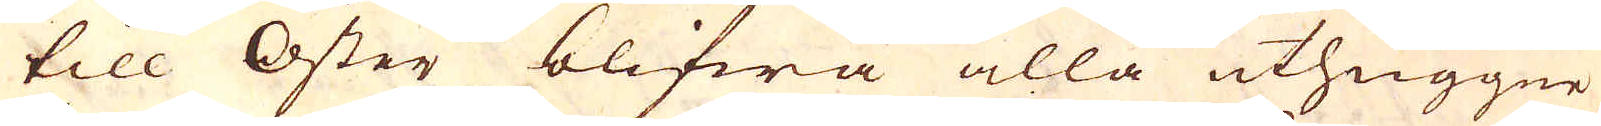till Öster blifwa alla uthuggne
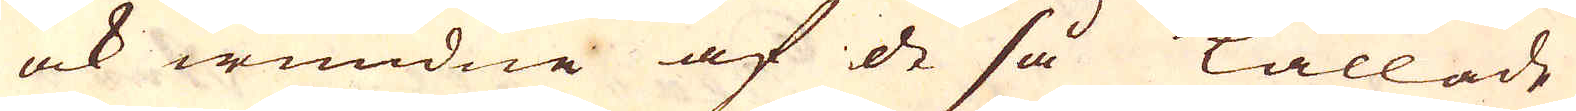ock wundne af de så kallade
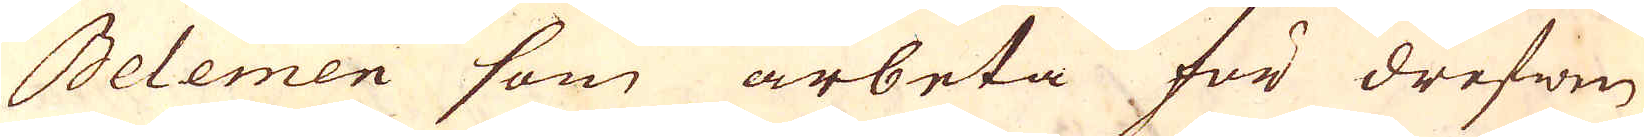Belemen som arbeta för drefwen
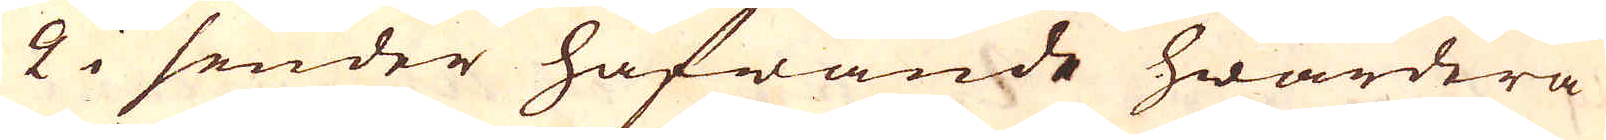2 i sender hafwande hwardera
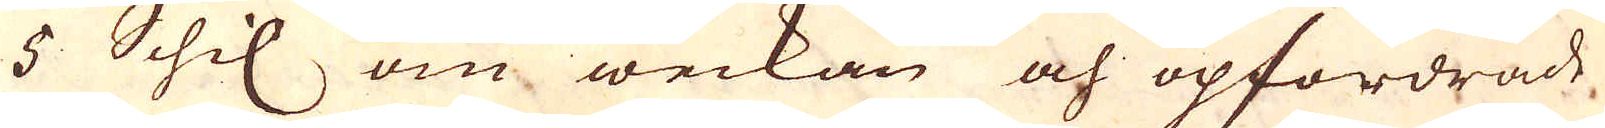5 Schil om weckan och opfordrade,
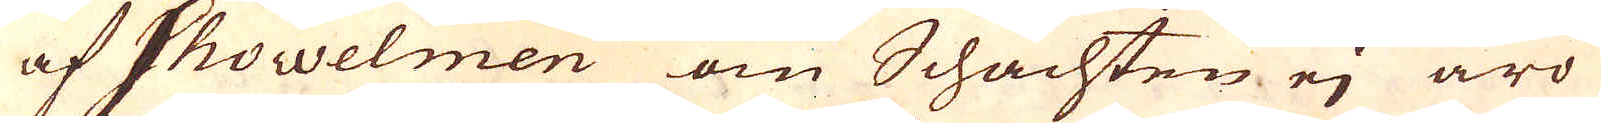af Showelmen om Schachten ej äro
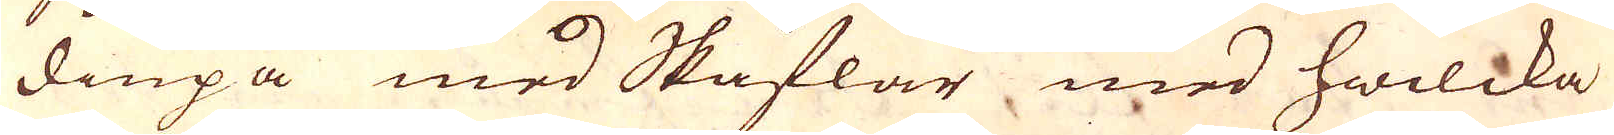diupa med Skåflar med hwilcka
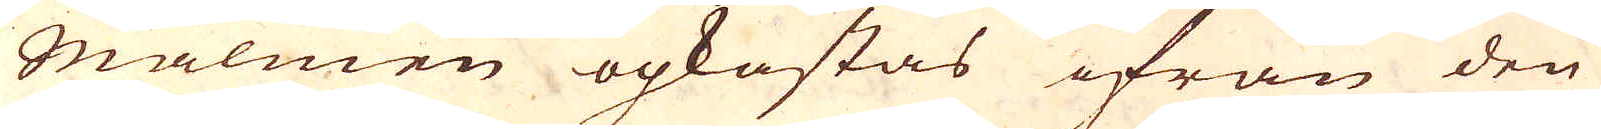Malmen opkastas ifrån den
